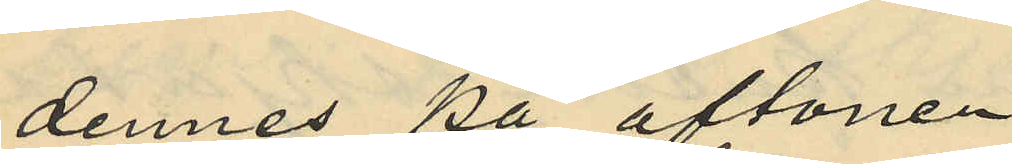dennes på aftonen
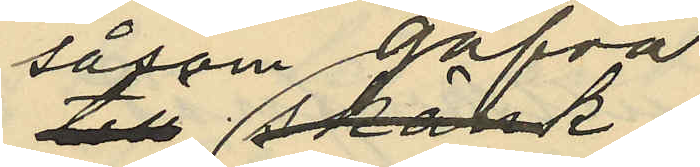såsom gåfva
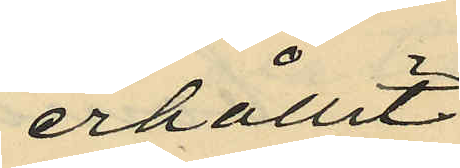erhållit
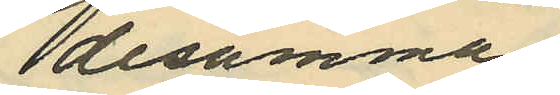desamma
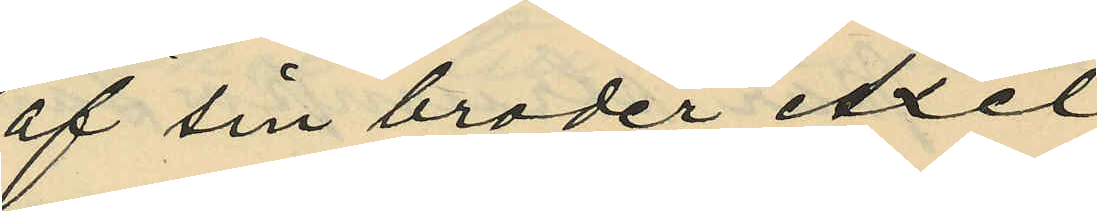af sin broder Axel
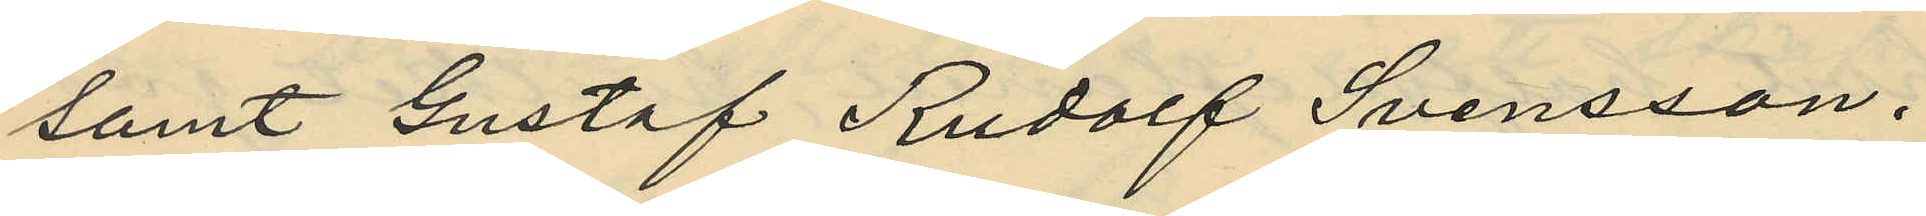samt Gustaf Rudolf Svensson.
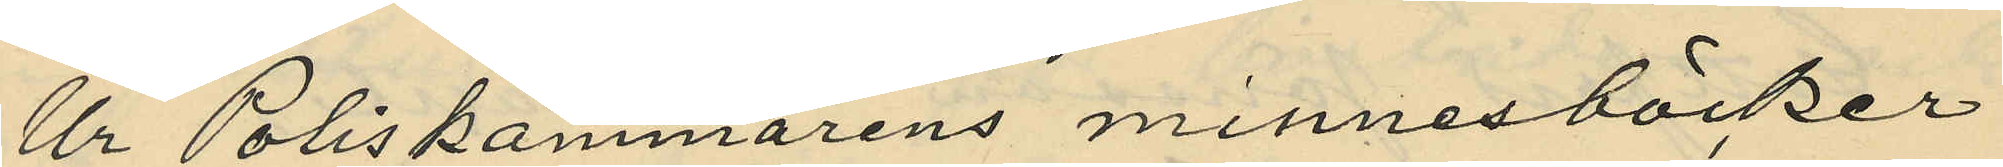Ur Poliskammarens minnesböcker
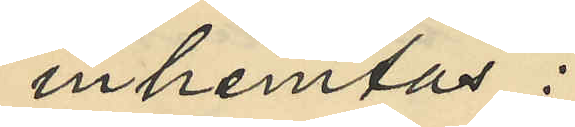inhemtas:
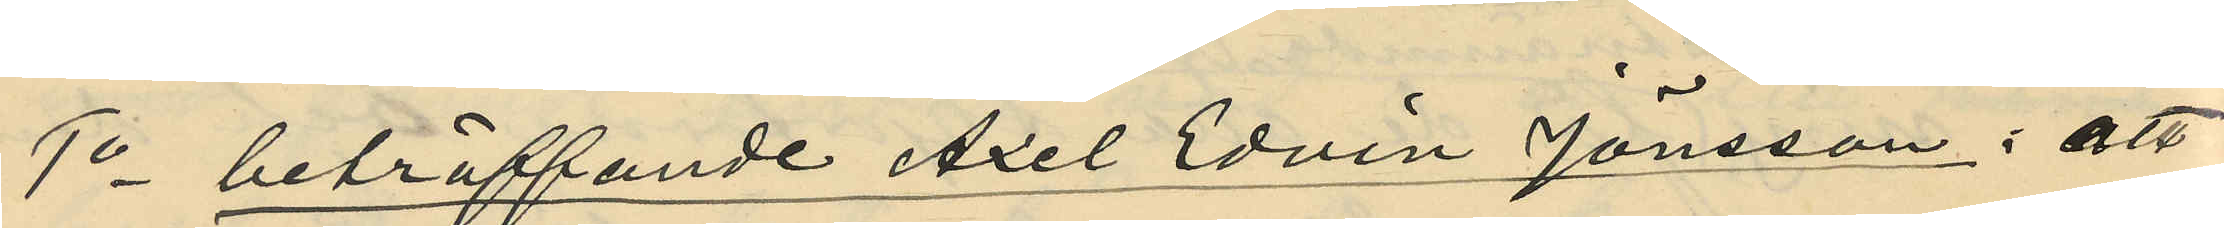1o beträffande Axel Edvin Jönsson: att
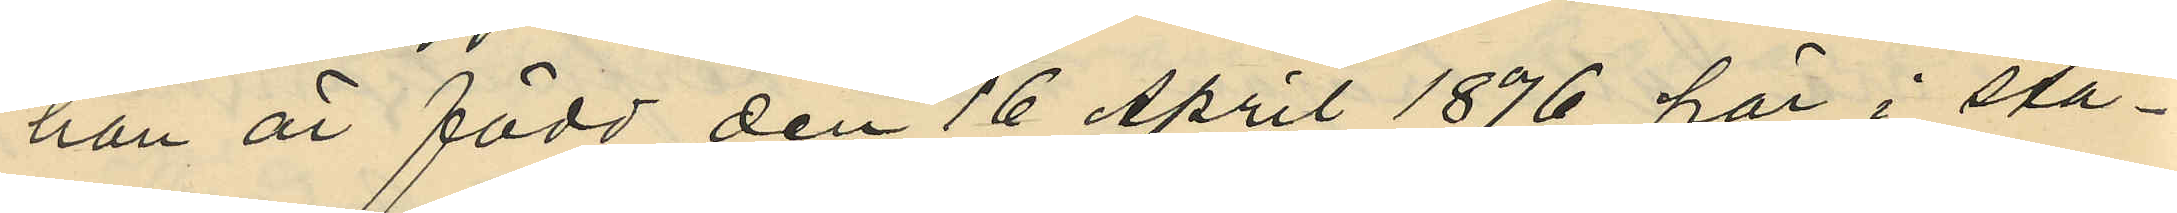han är född den 16 April 1876 här i sta¬
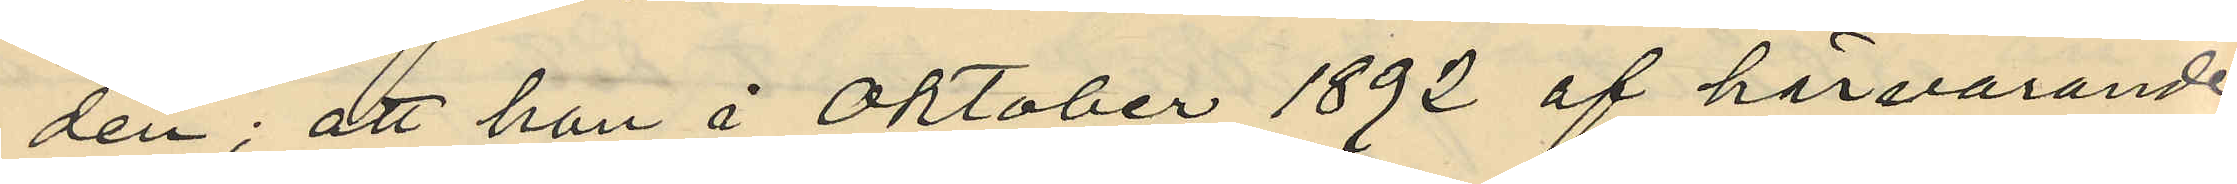den; att han å Oktober 1892 af härvarande
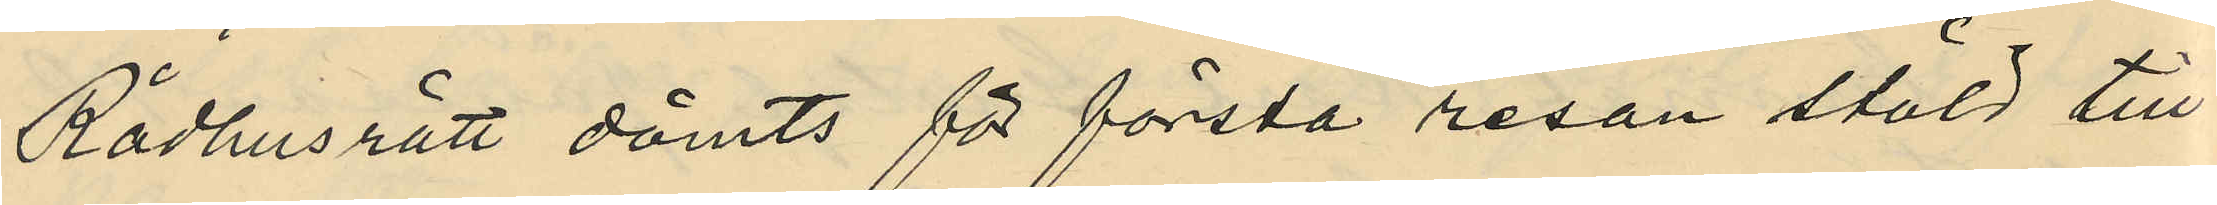Rådhusrätt dömts för första resan stöld till
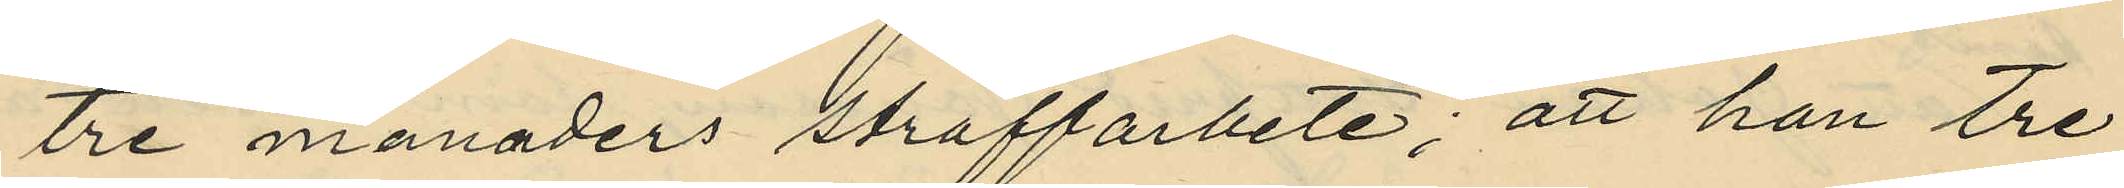tre månaders straffarbete; att han tre
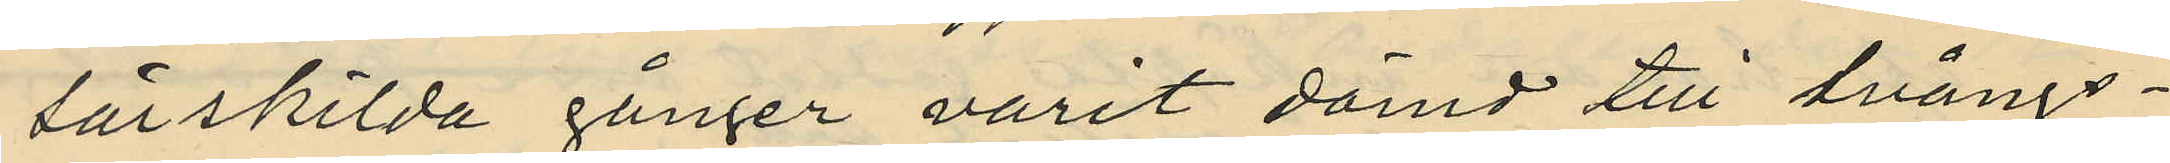särskilda gånger varit dömd till tvångs¬
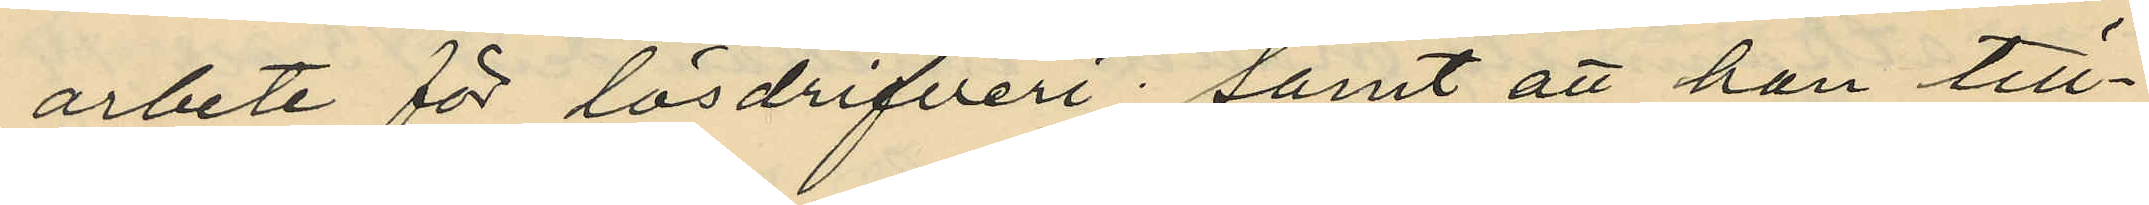arbete för lösdrifveri; samt att han till¬
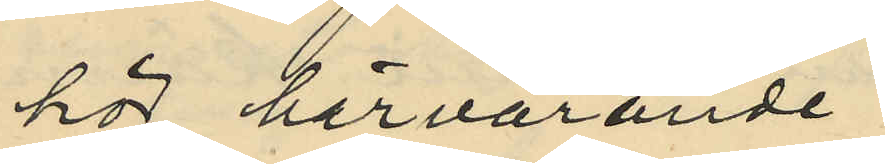hör härvarande
